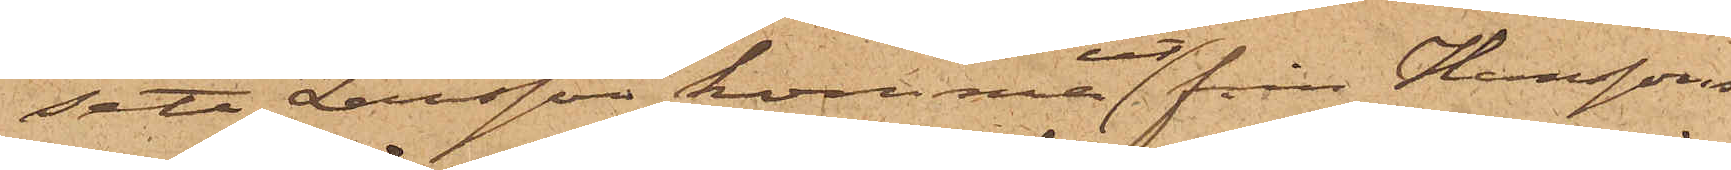sett Larsson komma ut från Hanssons
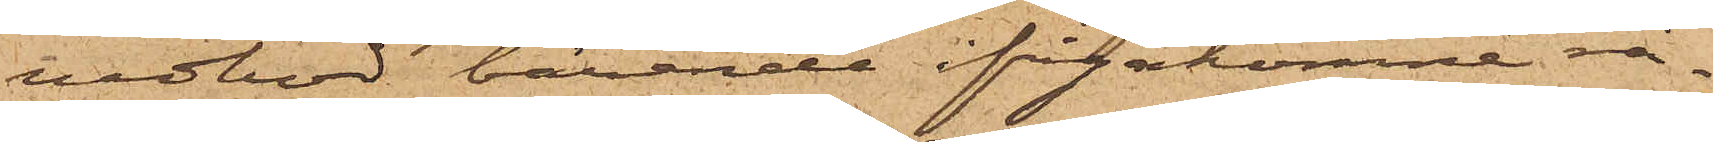vedbod bärande ifrågakomne rå¬
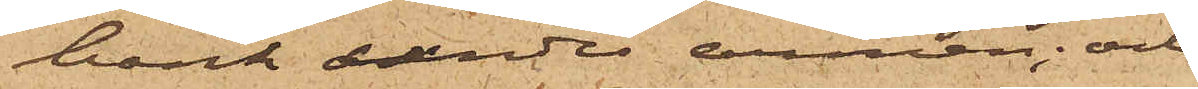bank under armen; och
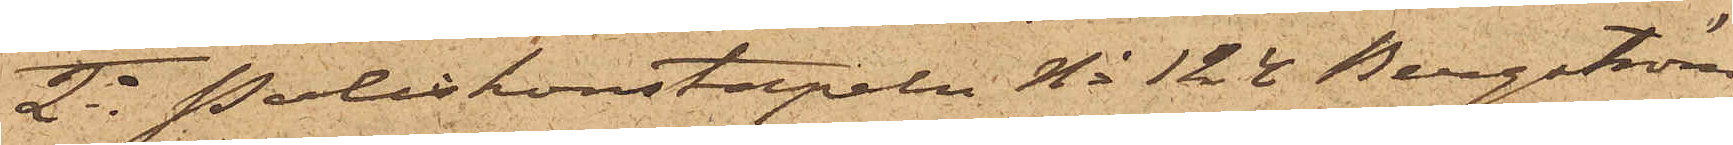2o Poliskonstapeln No 124 Bergström
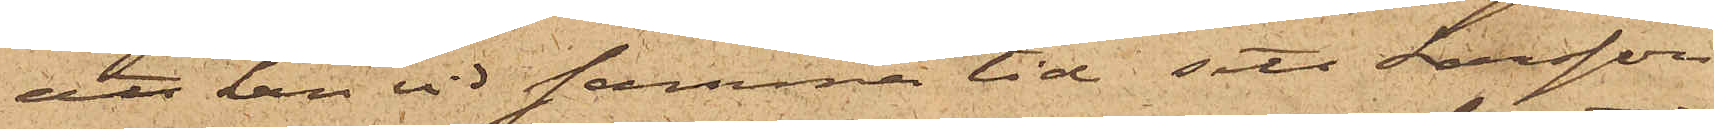att han vid samma tid sett Larsson
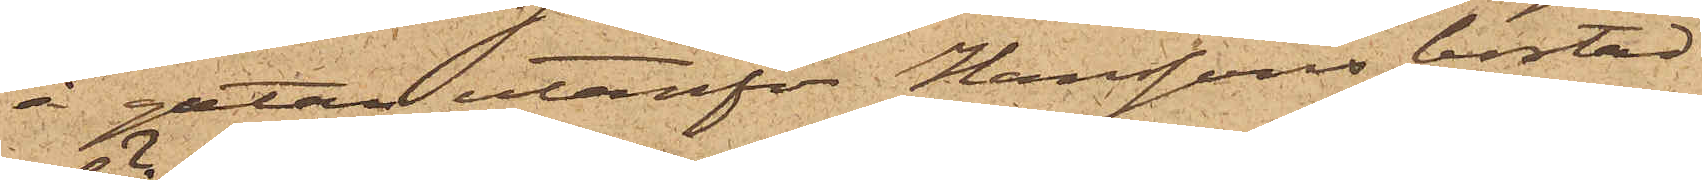å gatan utanför Hanssons bostad
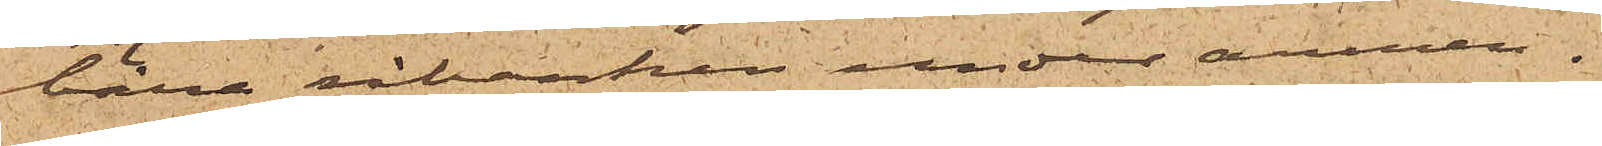bära råbanken under armen.
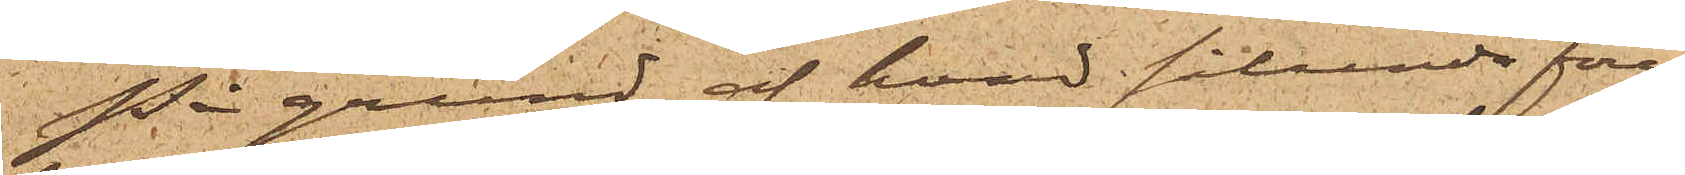På grund af hvad sålunda före¬
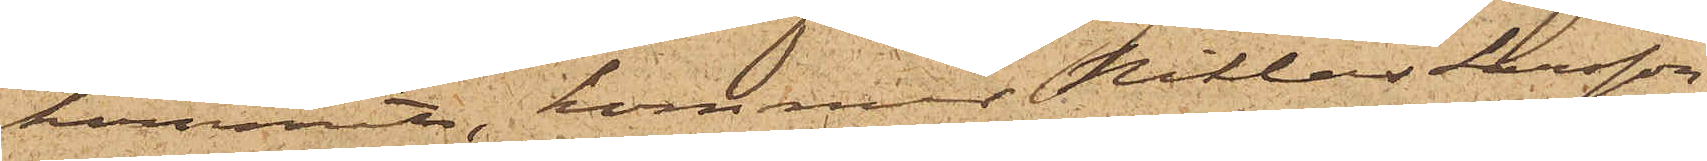kommit, kommer Niklas Larsson,
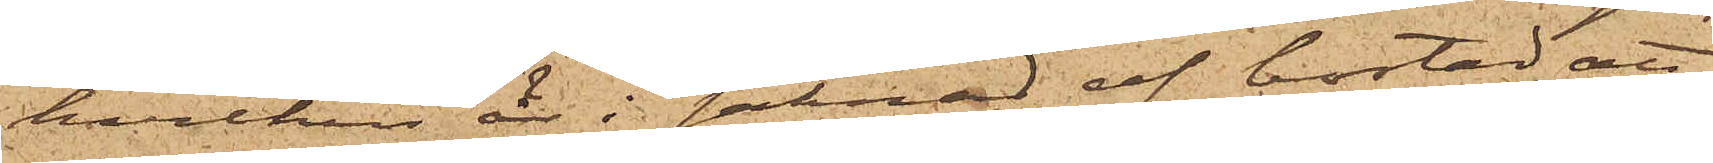hvilken är i saknad af bostad att
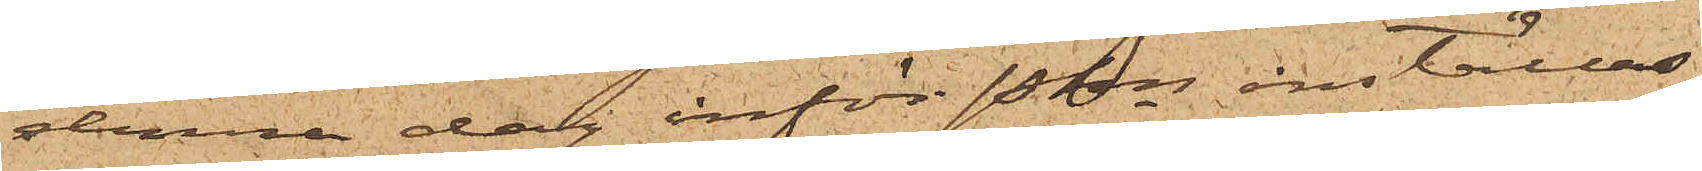denna dag inför Pkn inställas.
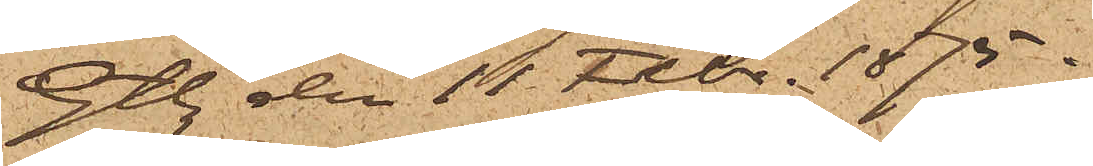Gtbg den 11 Febr. 1875.
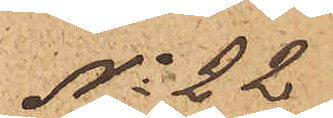No 22
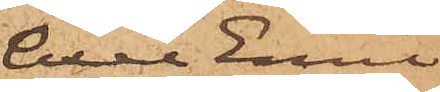Axel Emil
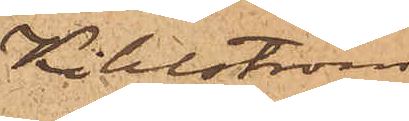Kihlström
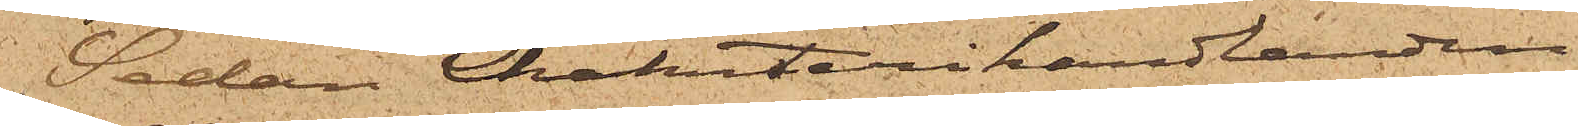Sedan Charkuterihandlanden
